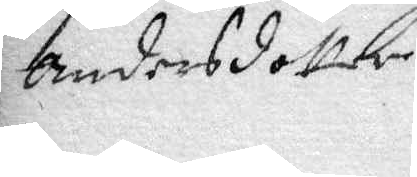Andersdotter
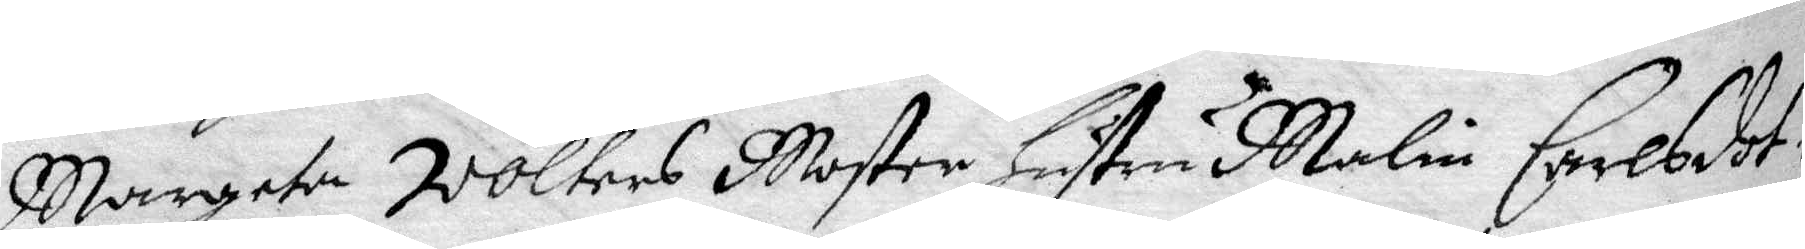Margeta Wolters Moster hustru Malin Carlsdot¬
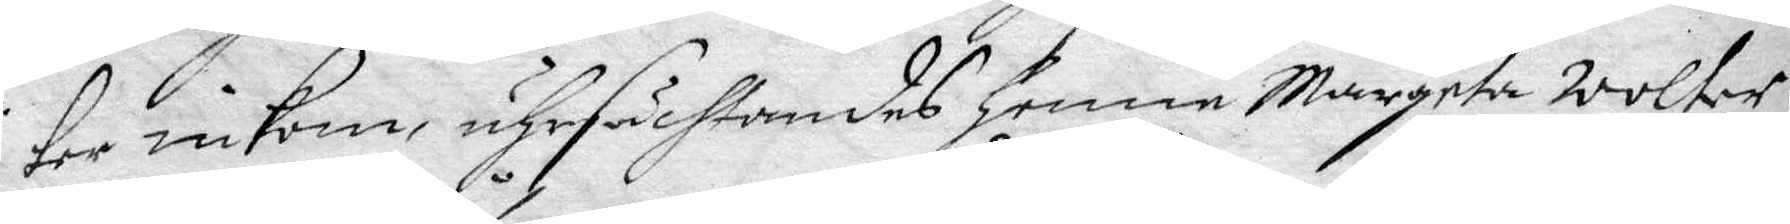ter inkom, uhrsächtandes henne Margeta Wolter
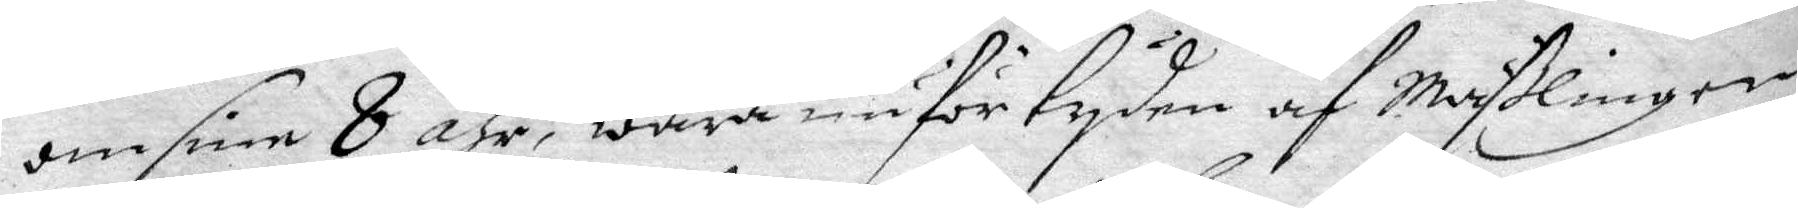om sine 8 åhr, wara nu för tyden af Mäßlingen
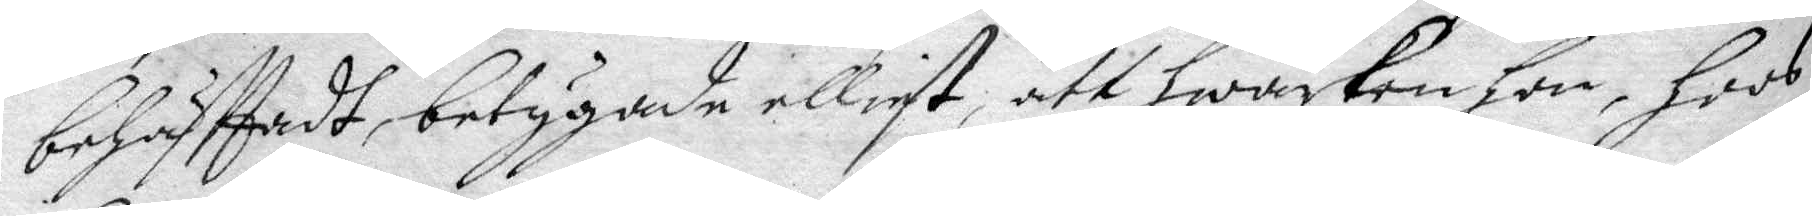behäfttadt, betygade elliest, att hwarken hon, hoos
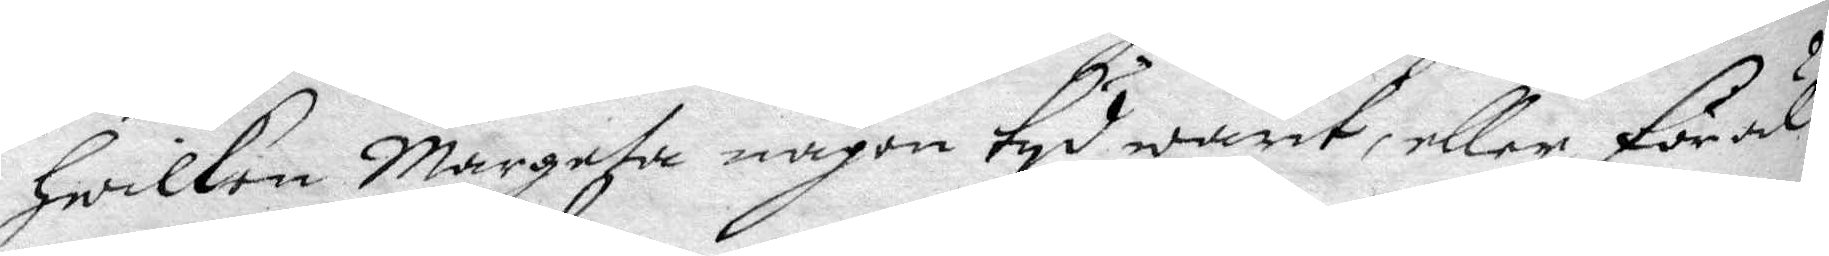hwilken Margeta någon tyd warit, eller föräl¬
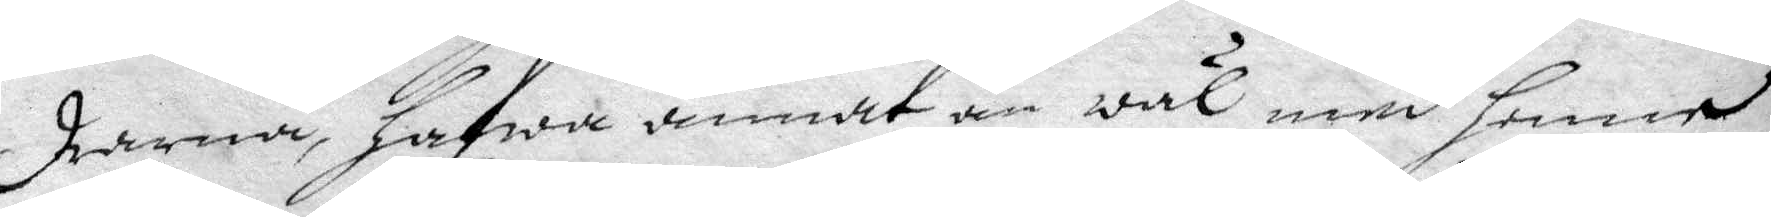drarna, hafwa annat än wäl med henne
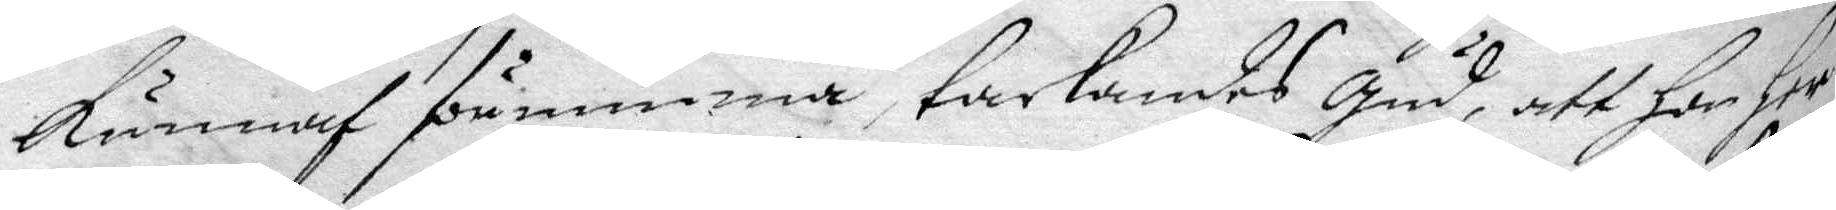kunnaf förnimma, tackandes Gud, att han her
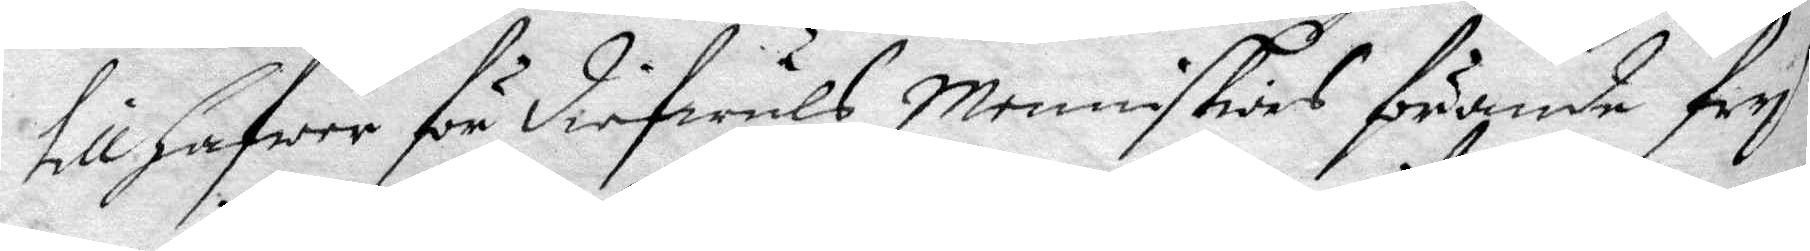till hafwa för diefwuls Menniskiors förande fry
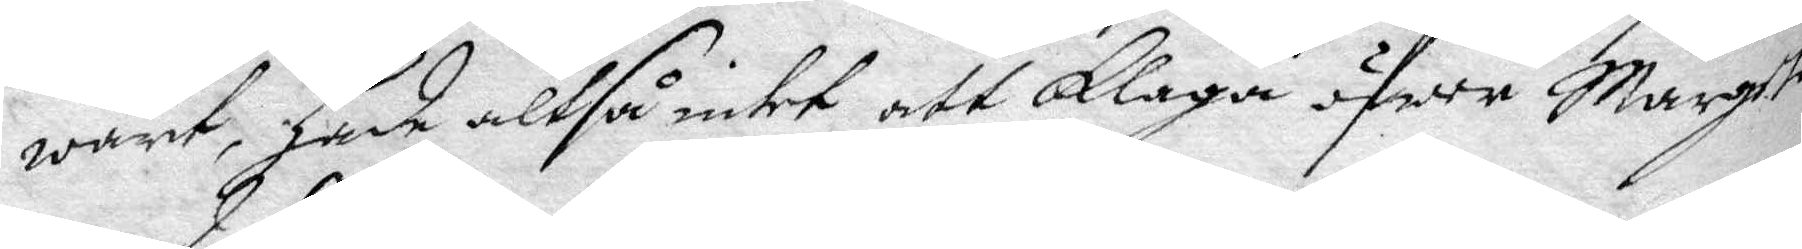warit, hade altså intet att Klaga öfwer Margeta
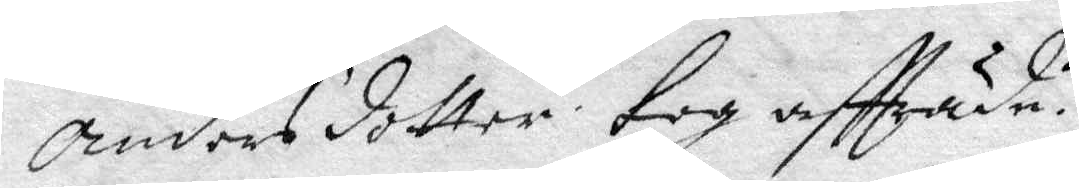Andersdotter. tog aftträde.
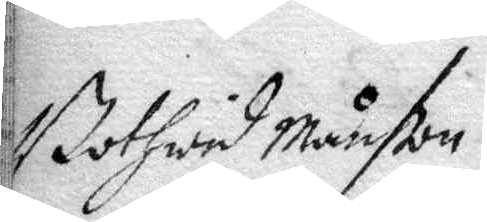Bothwid Månson
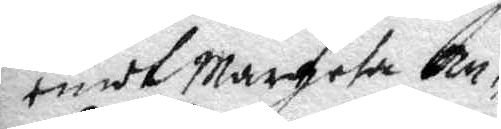emot Margeta An¬
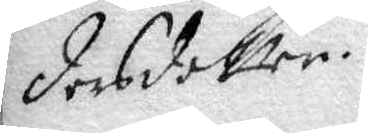dersdotter.
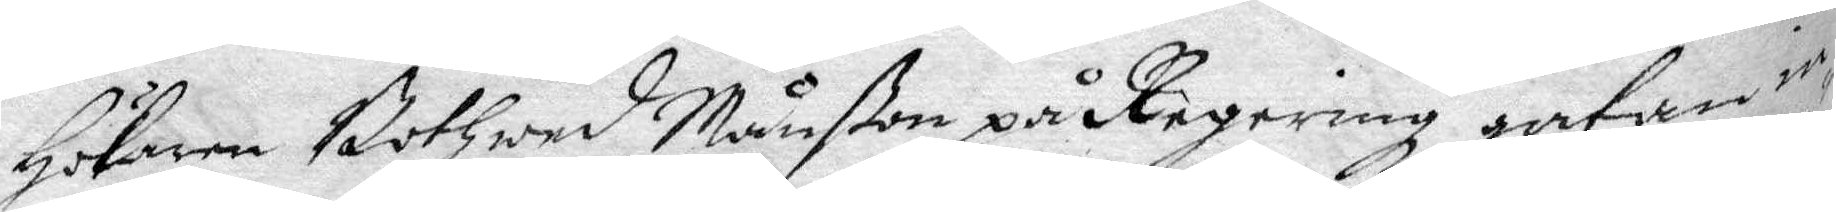Hökaren Bothwed Månßon på Regering hatan in¬
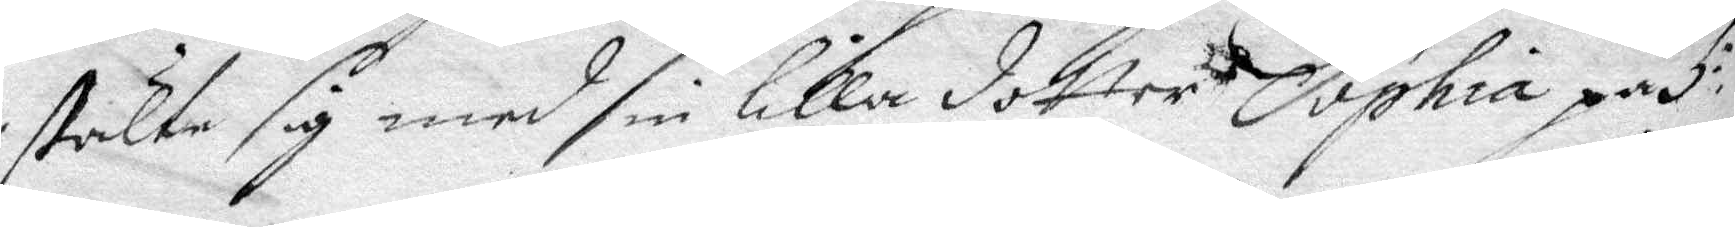stälte sig med sin lilla dotter Sophia på 5:te
